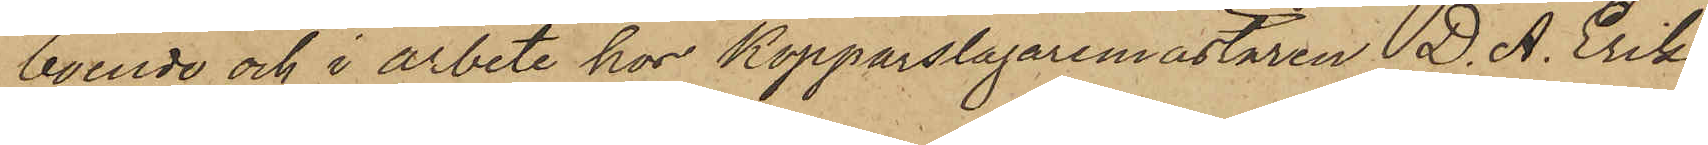boende och i arbete hos Kopparslagaremästaren D. A. Eriks¬
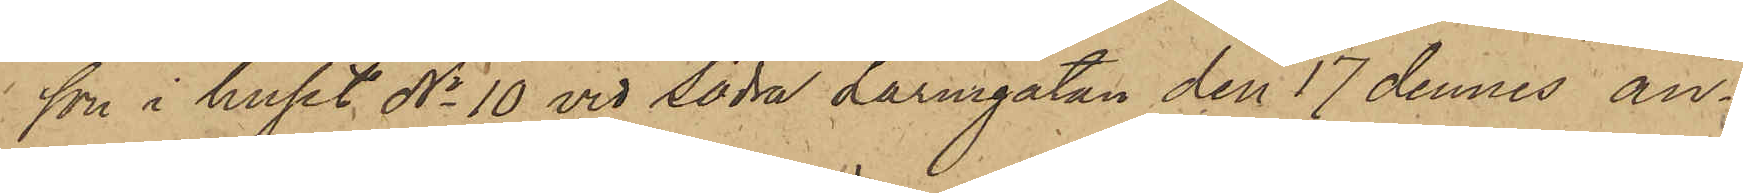son i huset No 10 vid Södra Larmgatan den 17 dennes an¬
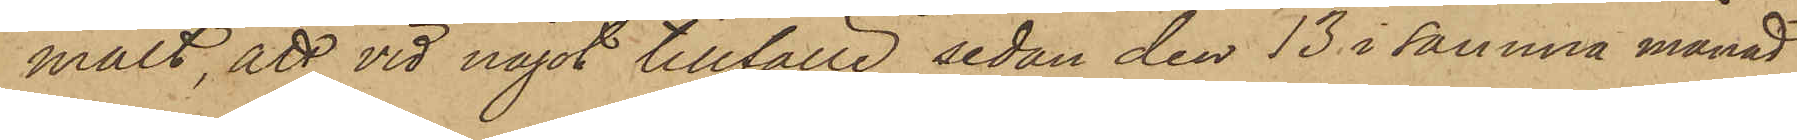mält, att vid något tillfälle sedan den 13 i samma månad
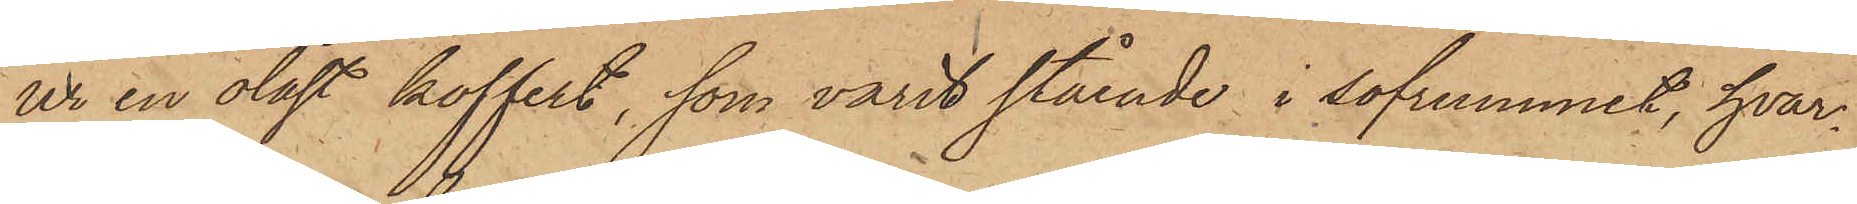ur en olåst koffert, som varit stående i sofrummet, hvar¬
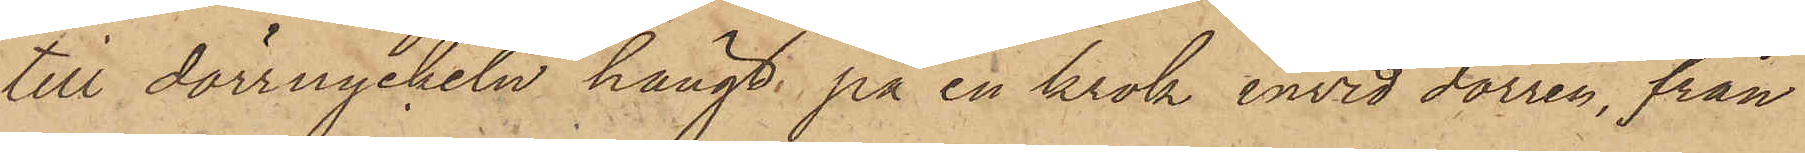till dörrnyckeln hängt på en krok invid dörren, från
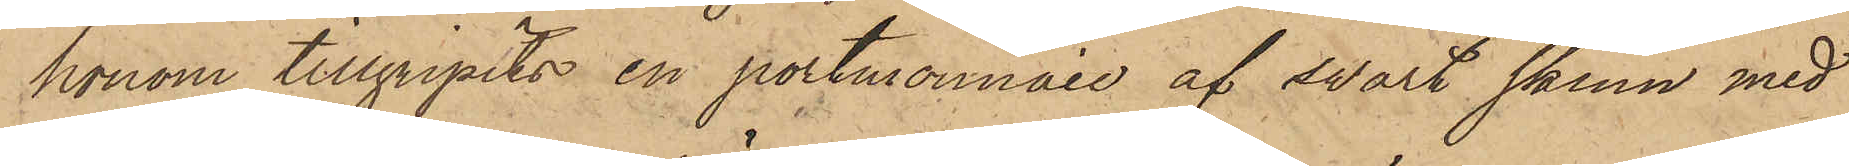honom tillgripits en portmonnaie af svart skinn med
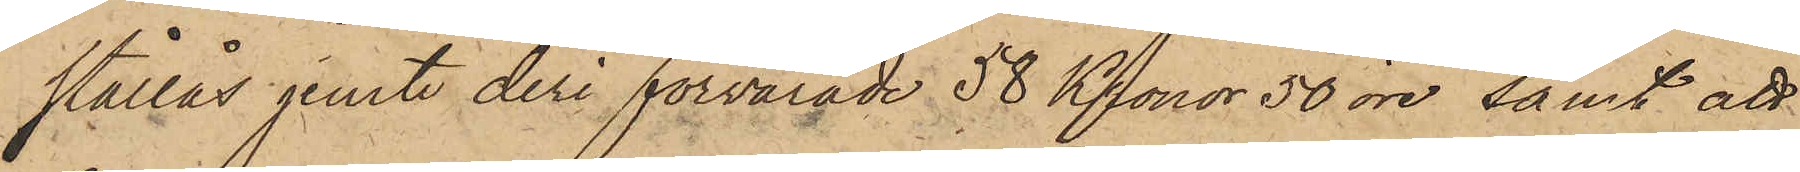stållås jemte deri förvarade 58 Kronor 50 öre, samt att
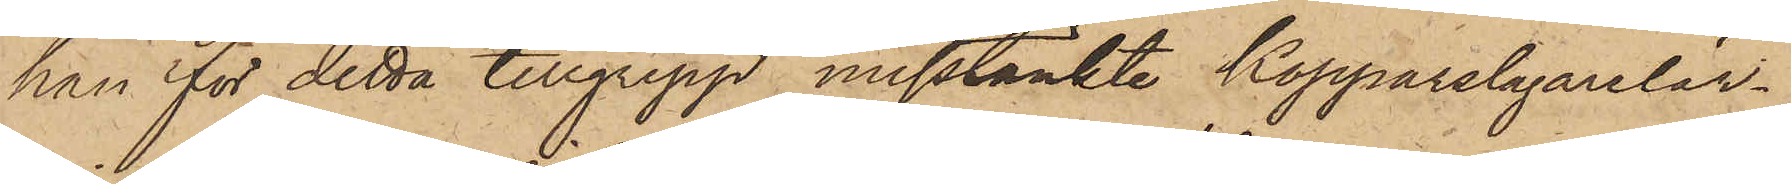han för detta tillgrepp misstänkte Kopparslagarelär¬
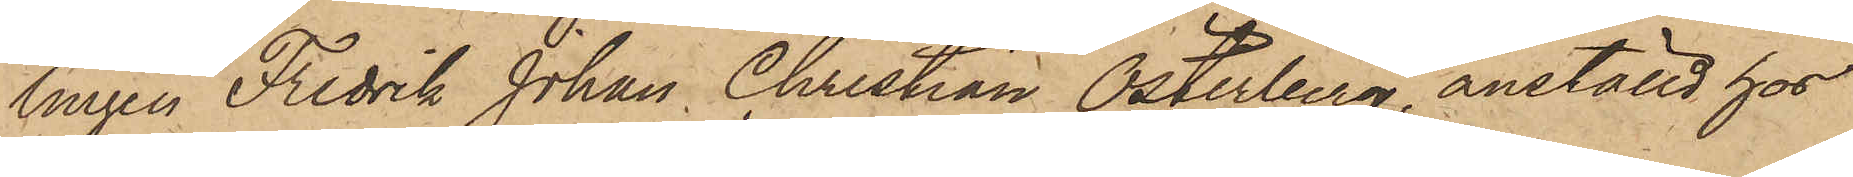lingen Fredrik Johan Christian Österberg, anställd hos
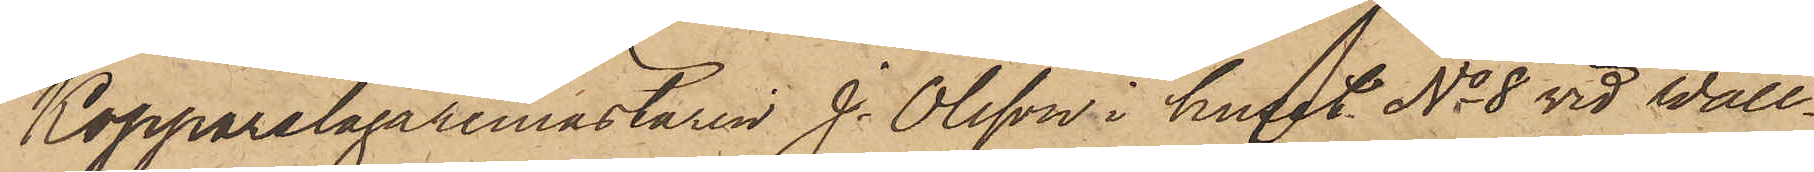Kopparslagaremästaren J. Olsson i huset No 8 vid Wall¬
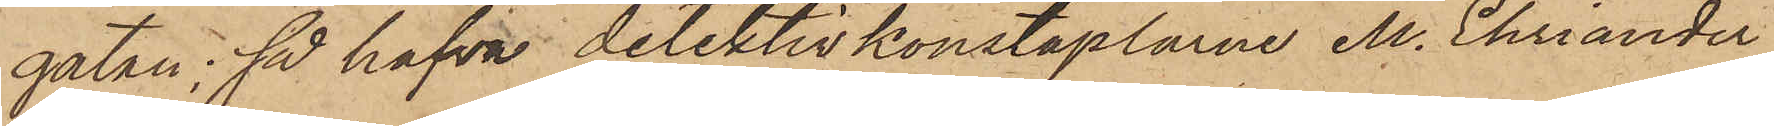gatan; så hafva detektivkonstaplarne M. Ehriander
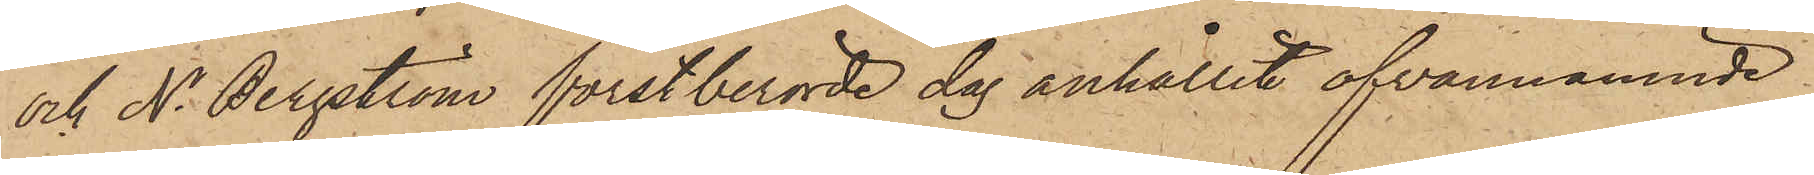och N. Bergström förstberörde dag anhållit ofvannämnde
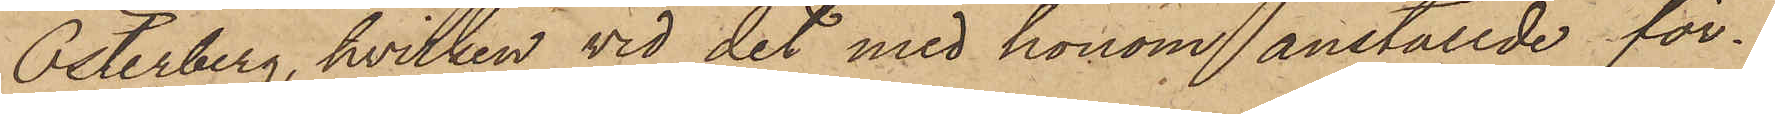Österberg, hvilken vid det med honom anställde för¬
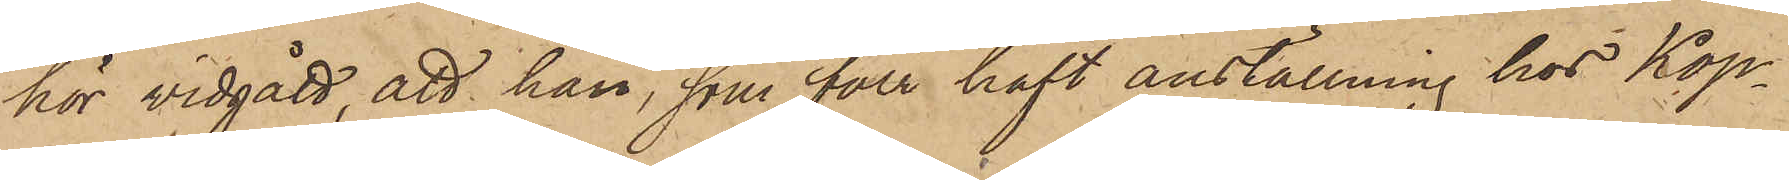hör vidgått, att han, som förr haft anställning hos Kop¬
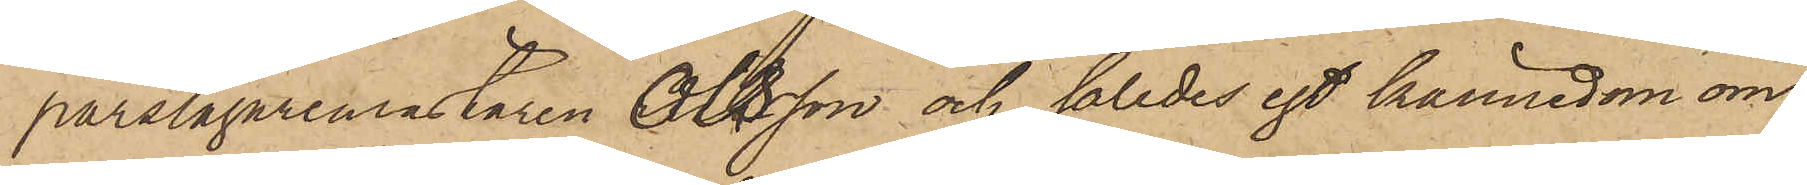parslagaremästaren Olsson och således egt kännedom om
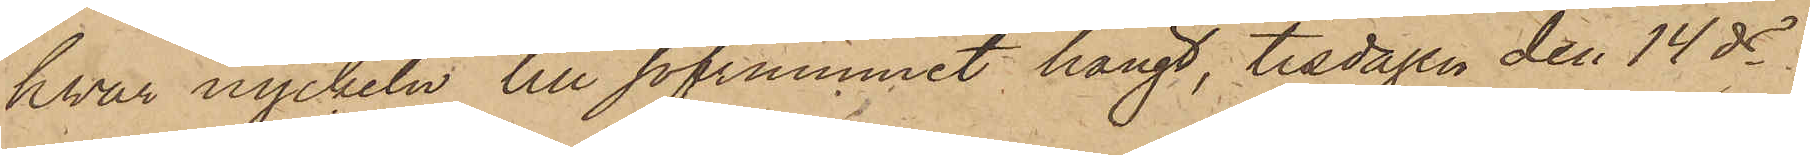hvar nyckeln till sofrummet hängt, tisdagen den 14 ds
